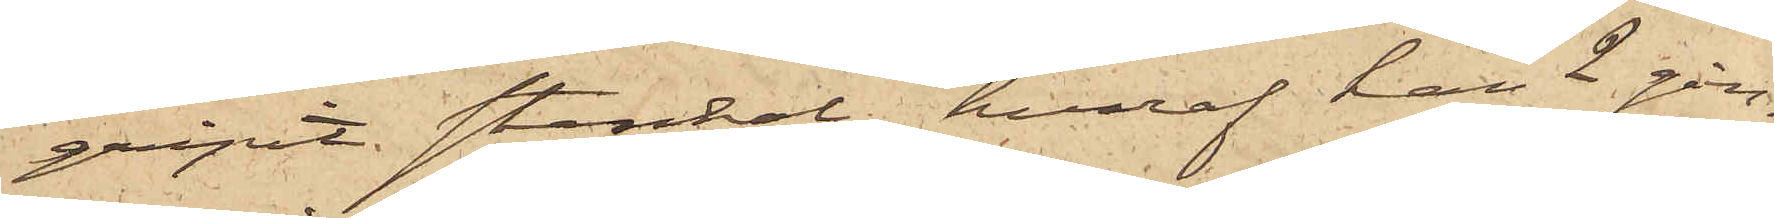gripit stenkol, hvaraf han 2 gån¬
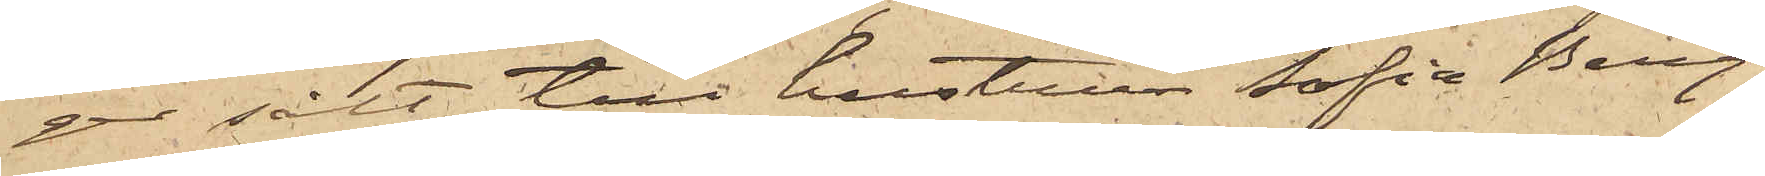ger sålt till hustrun Sofia Berg¬
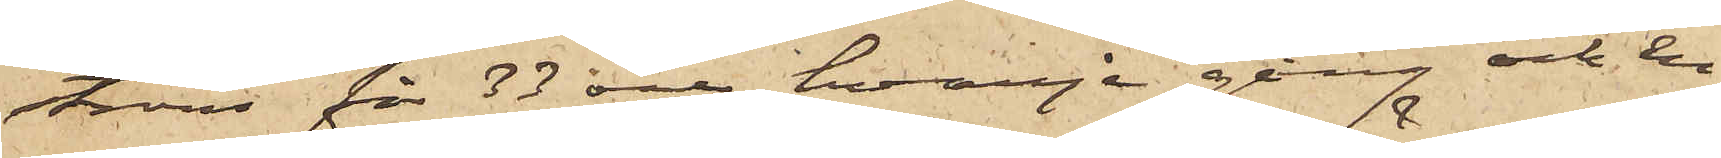ström för 33 öre hvarje gång och en
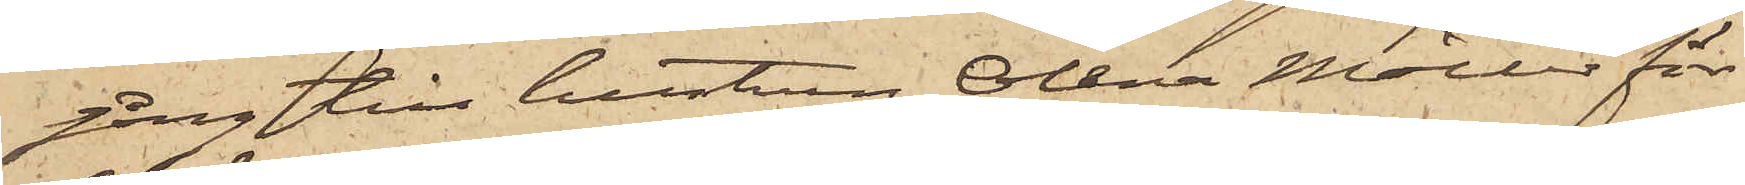gång till hustrun Olena Möller för
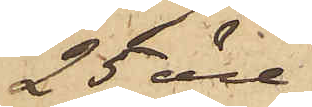25 öre,
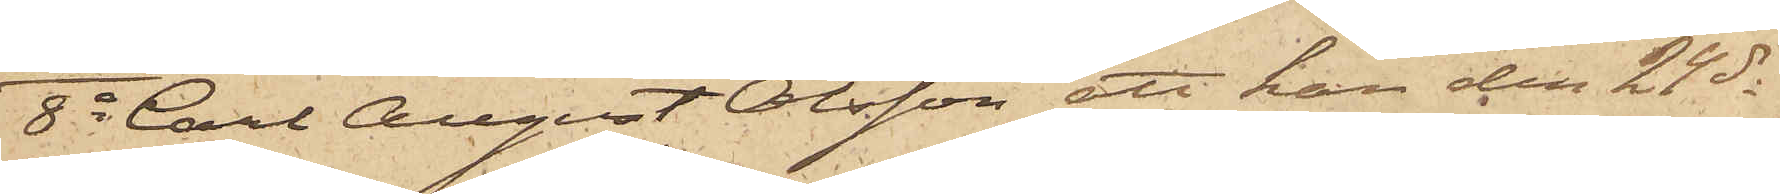8o Carl August Olsson att han den 24 ds
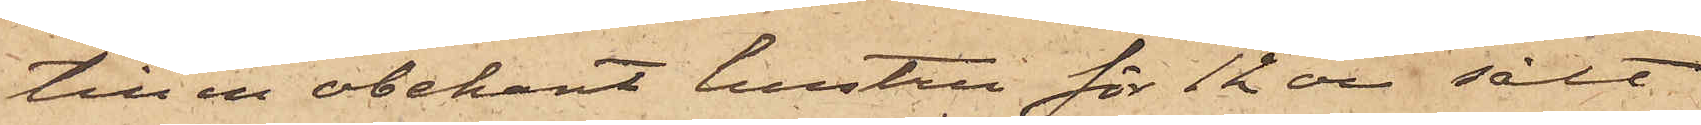till en obekant hustru för 12 öre sålt
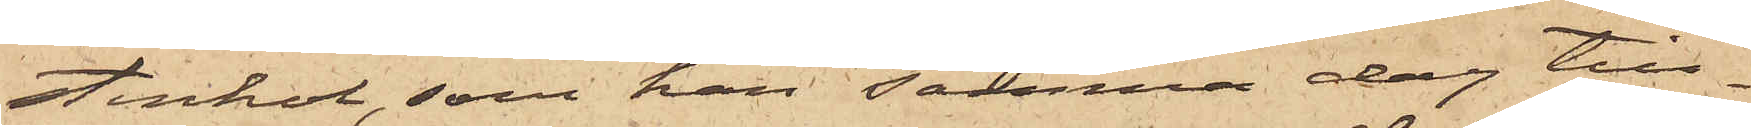stenkol, som han samma dag till¬
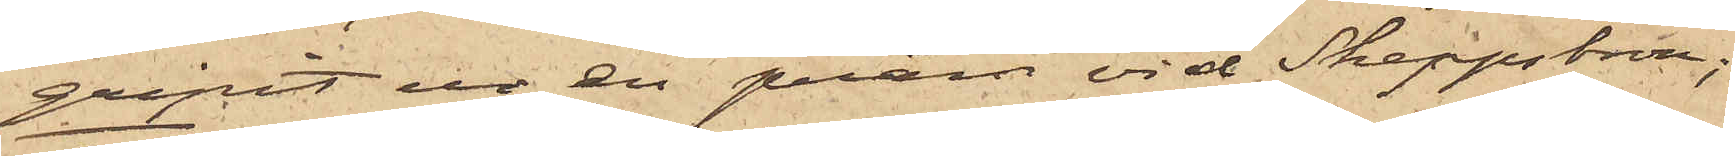gripit ur en pråm vid Skeppsbron;
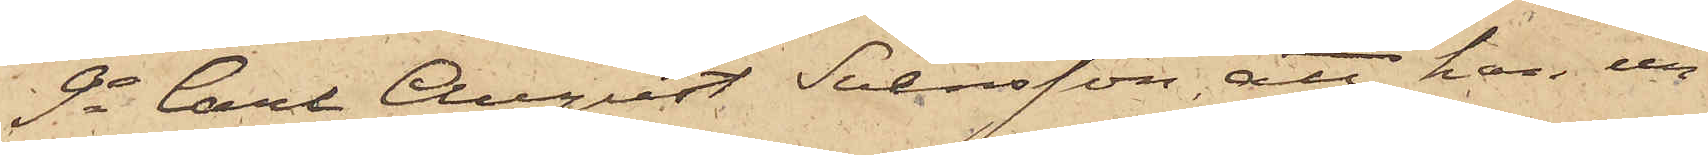9o Carl August Svensson, att han un¬
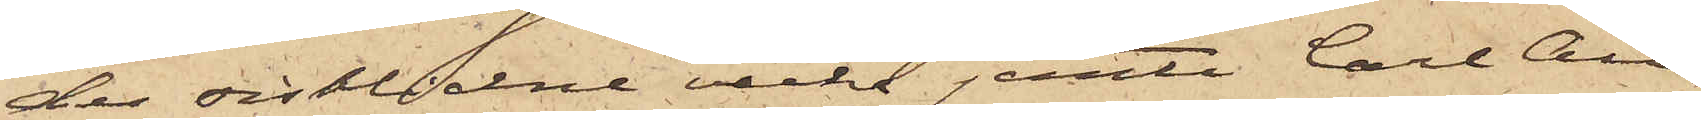der sistlidne vecka jemte Carl Au¬
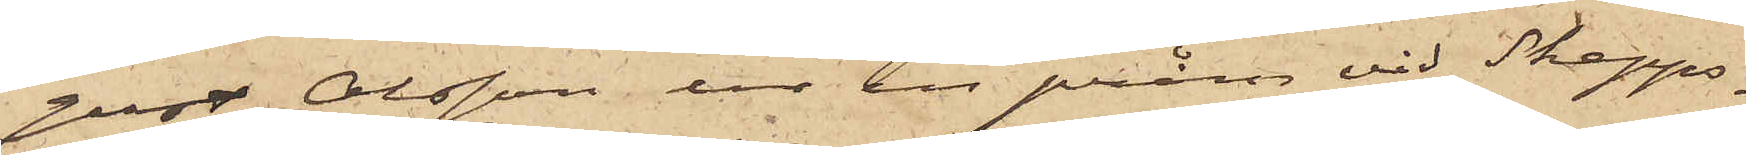gust Olsson ur en pråm vid Skepps¬
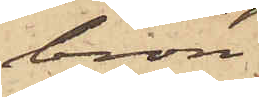bron
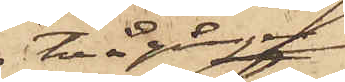två gånger
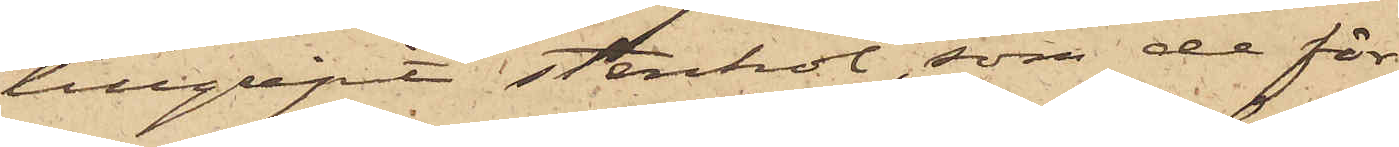tillgripit stenkol, som de för¬
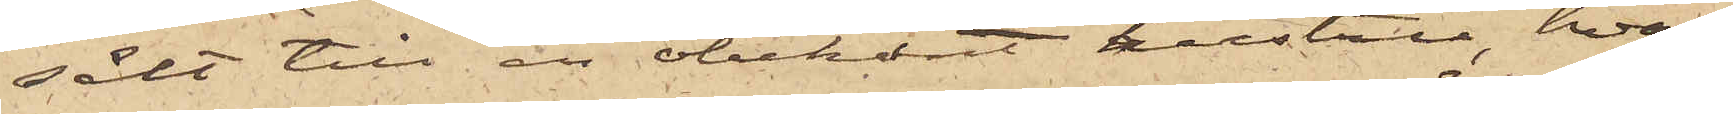sålt till en obekant hustru, hvar¬
